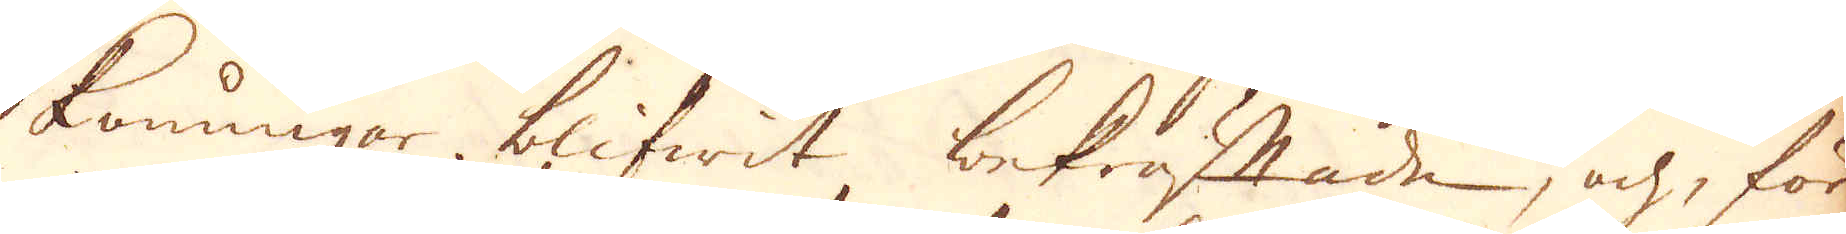Konungar blifwit bekräftade, och för
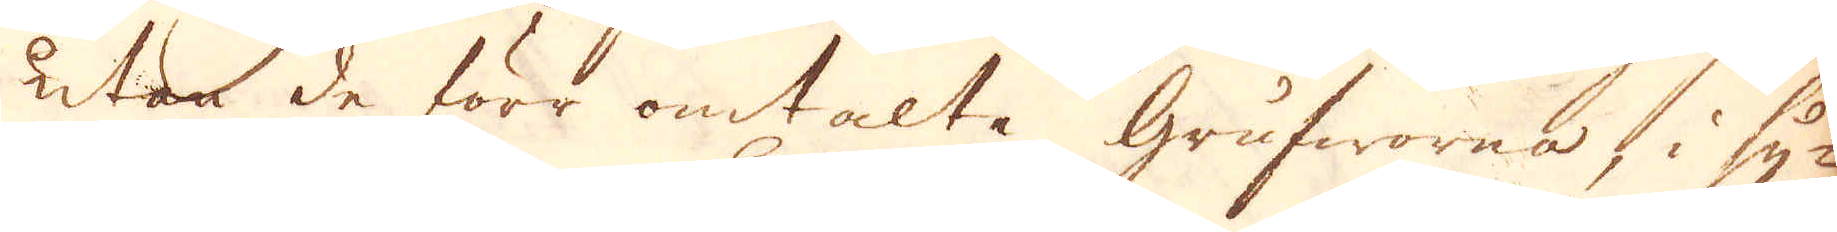utan de förr omtalte Grufworna, i sy-
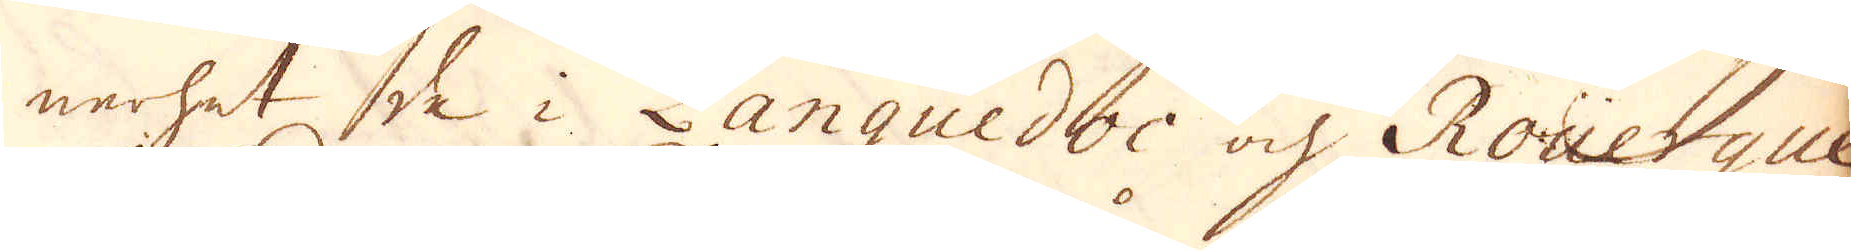nerhet så i Languedoc och Roüerque,
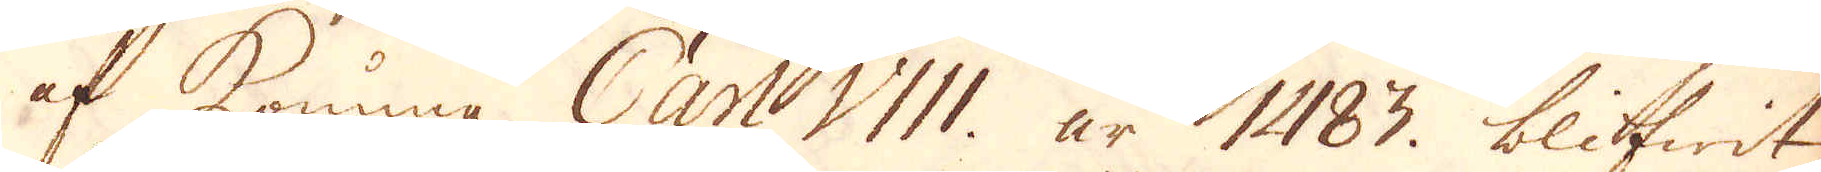at Konung Carl VIII. år 1483. blifwit
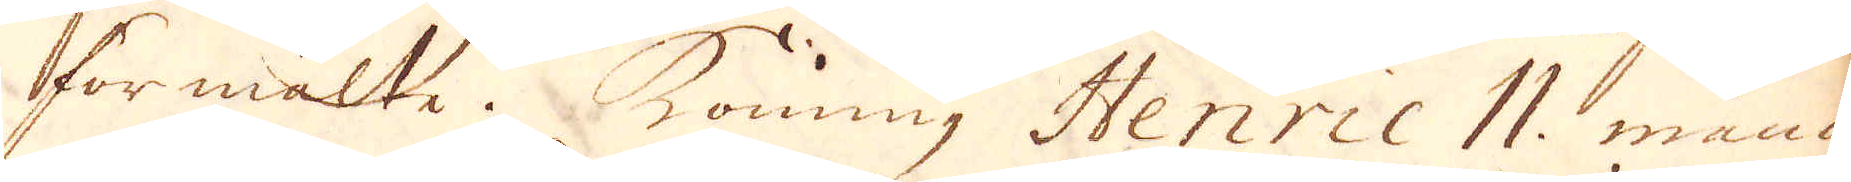förmälte. Konung Henric II. månn
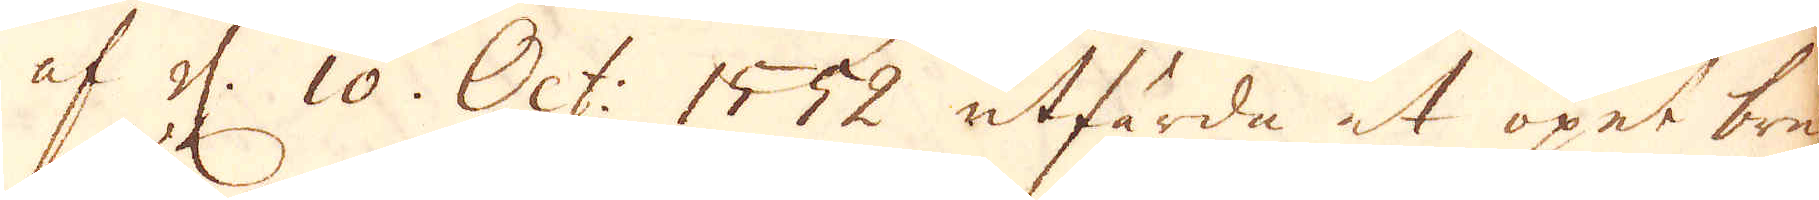af d. 10. Oct. 1552 utfärda et öpet bref
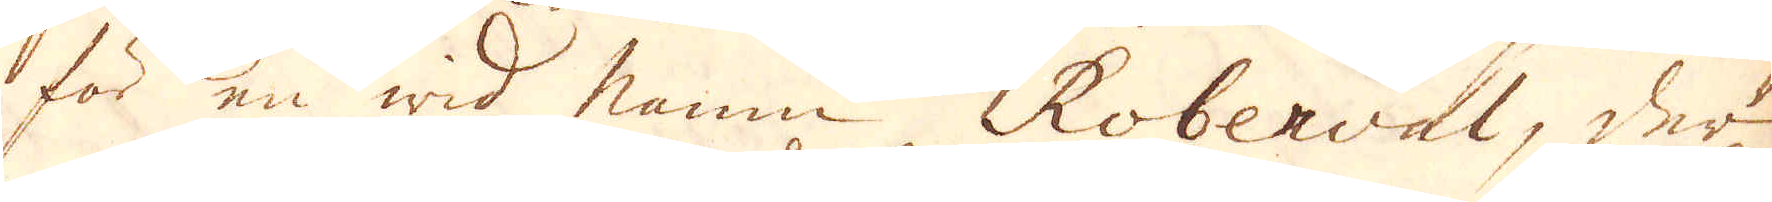för en wid namn Roberval, der
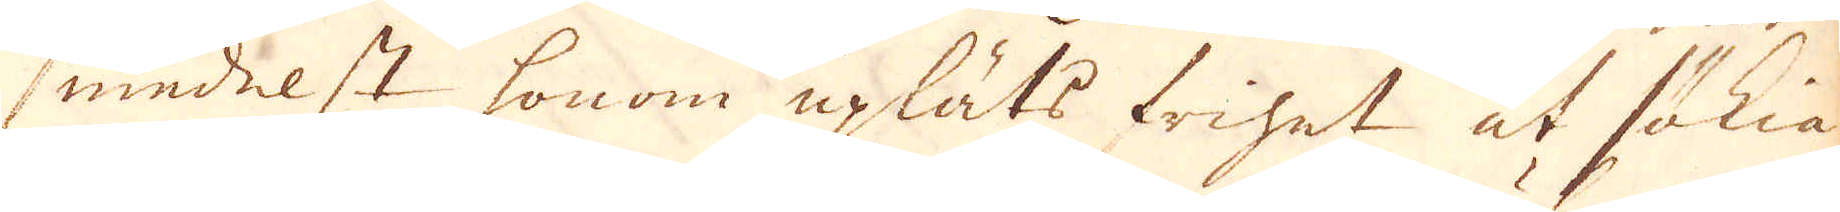medelst honom upläts frihet ut sälja
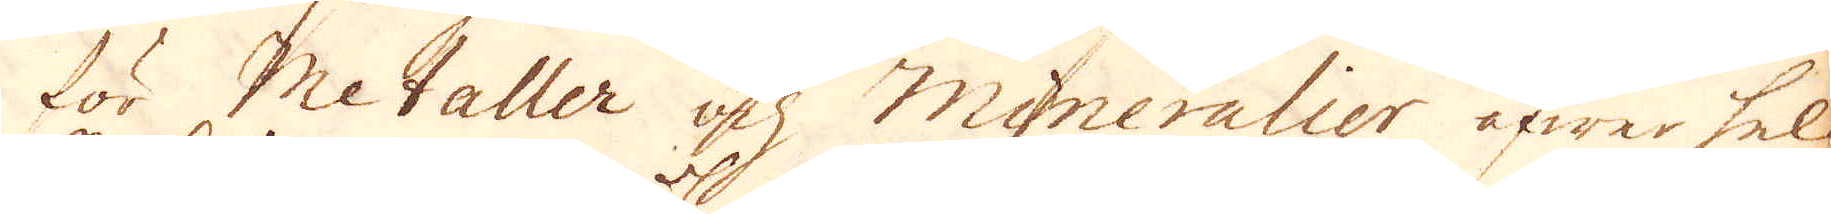för Metaller och Mineralier öfwer hela
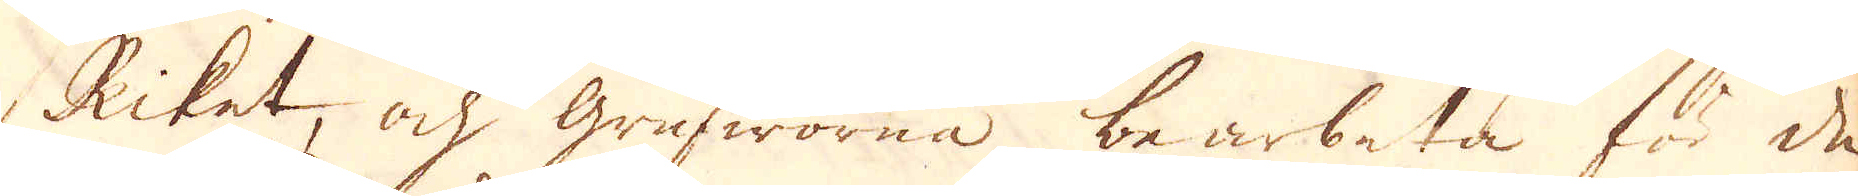Riket, och Grufworna bearbeta för de
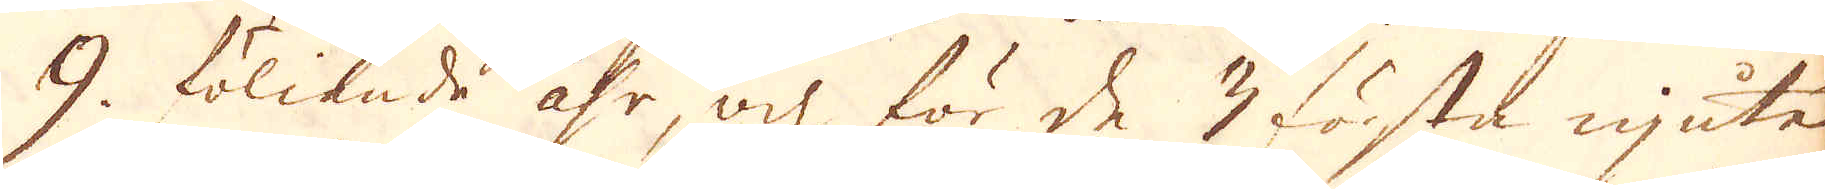9. följande åhr och för de 7 första njuta
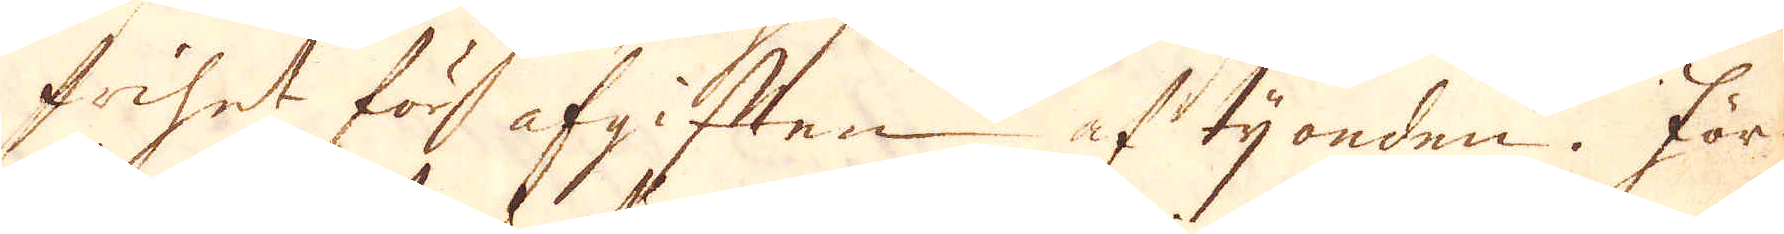frihet för afgiften af tijonden. För-
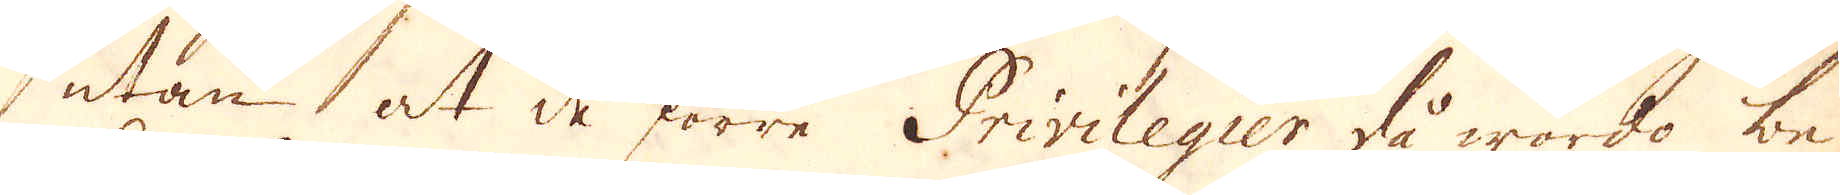utan at de förre Privilegier då wordo be-
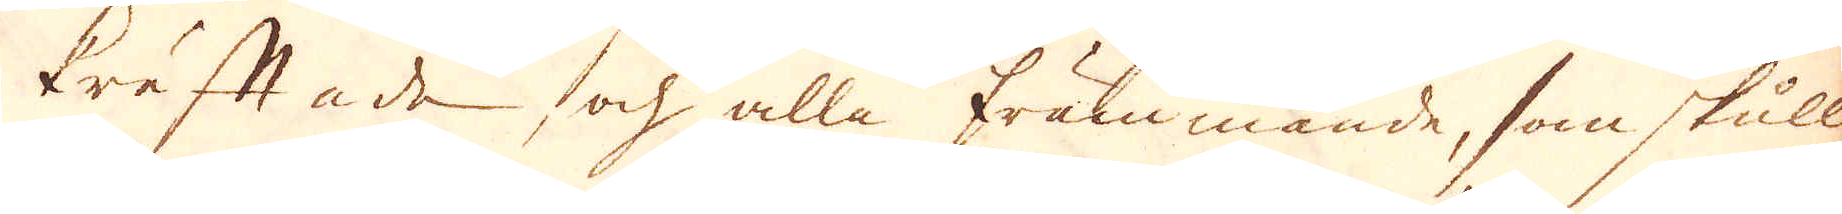kräftade och alla främmande, som skulle
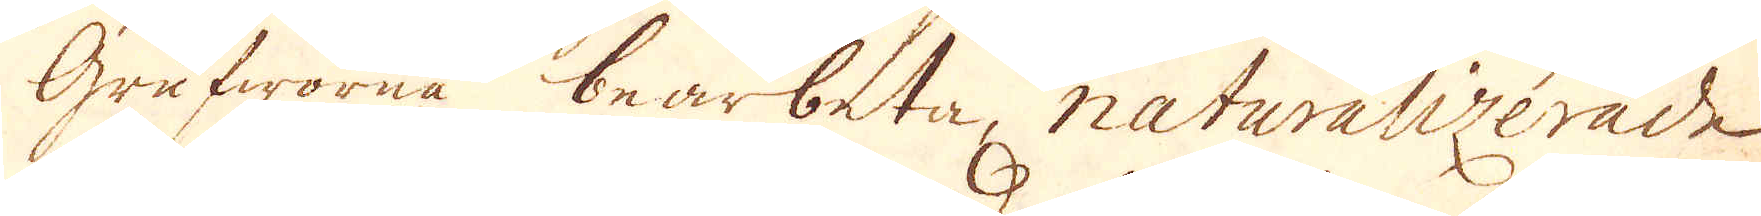Grufworna bearbeta, naturalizerade,
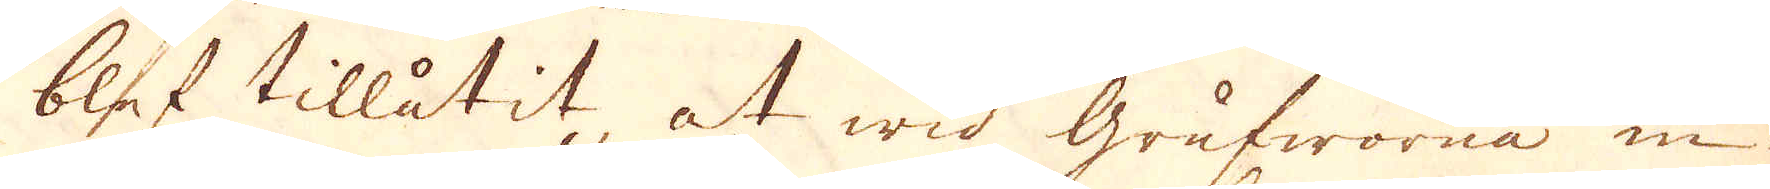blef tillåtit at wid Grufworna in-
